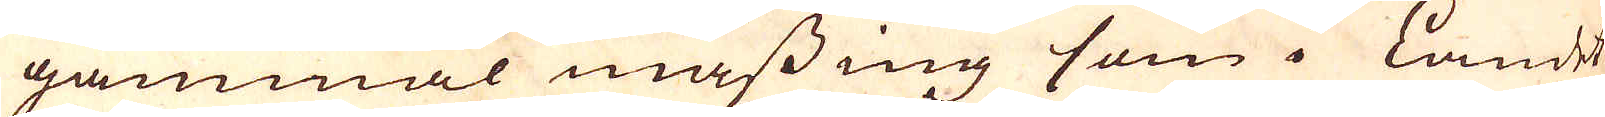gammal mässing som i Landet
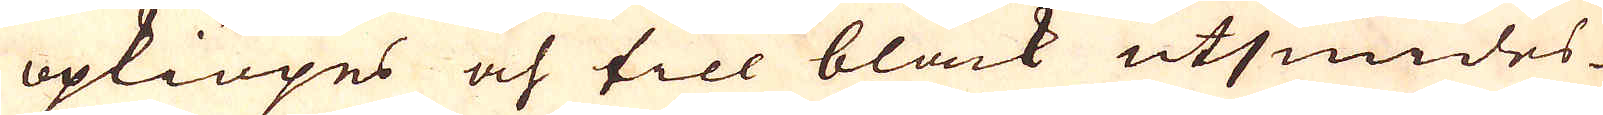opkiöpes och till bläck utsmides
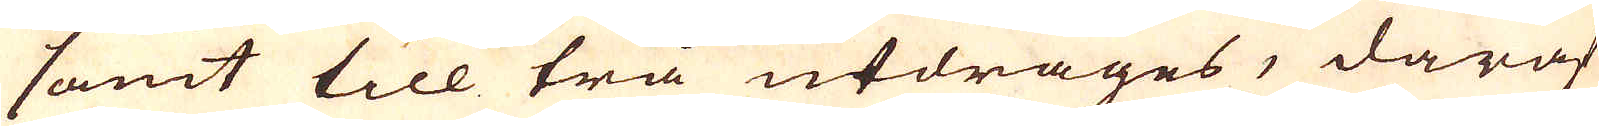samt till trå utdrages, däraf
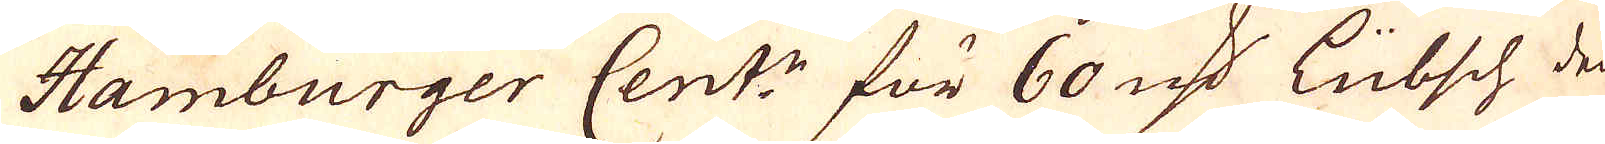Hamburger Cent:n för 60 marker Lübsch den-
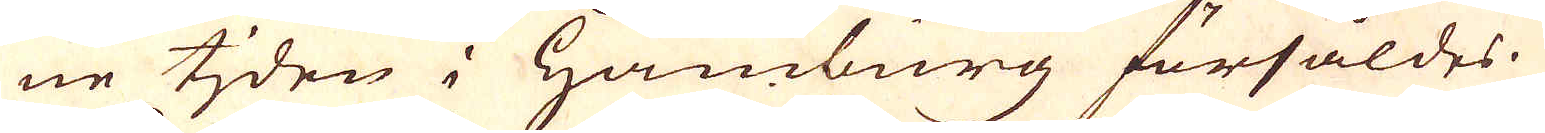ne tiden i Hamburg försåldes.
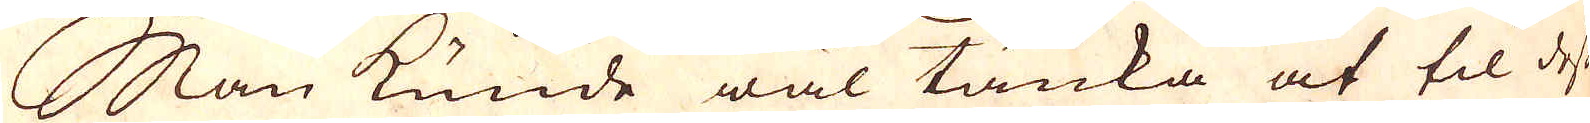Man kunde wäl tänka at til desse
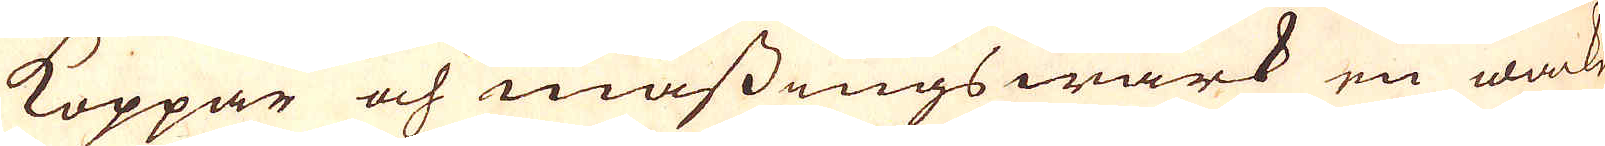Koppar och mässingswärk en wacker
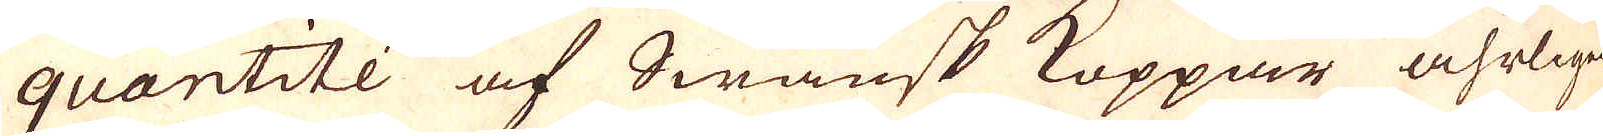quantité af Swänsk Koppar åhrligen
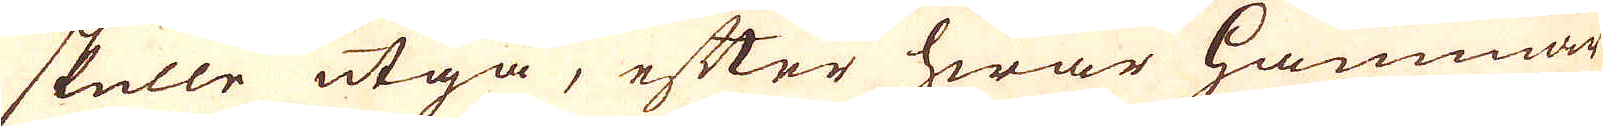skulle utgå, efter hwar hammar
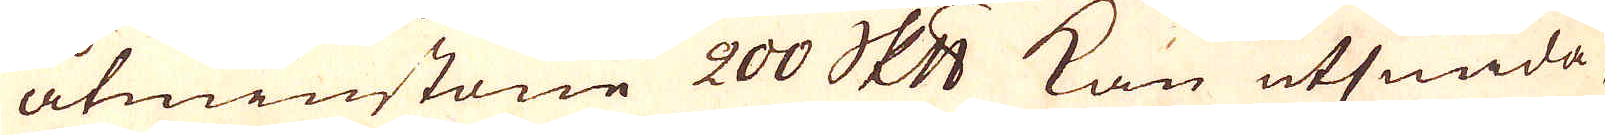åtminstone 200 skeppund kan utsmida,
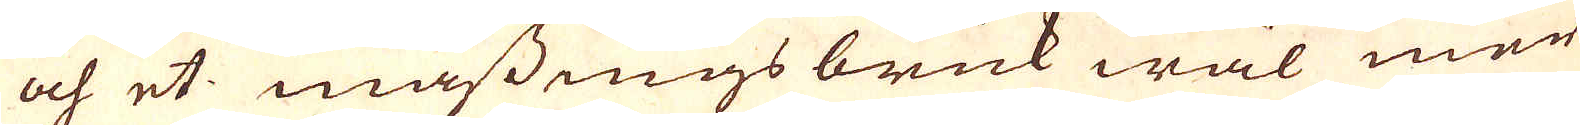och et mässings bruk wäl mer
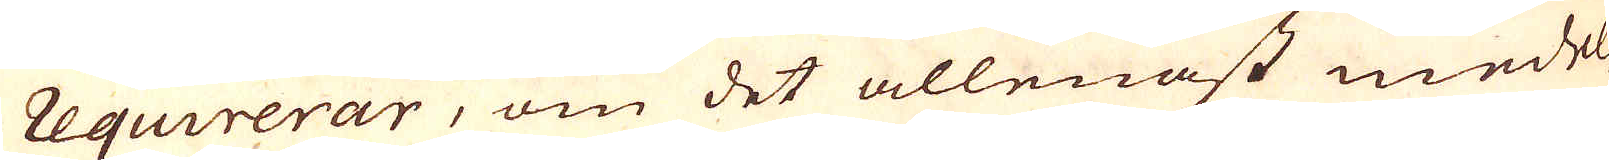requirerar, om det allenast medel-
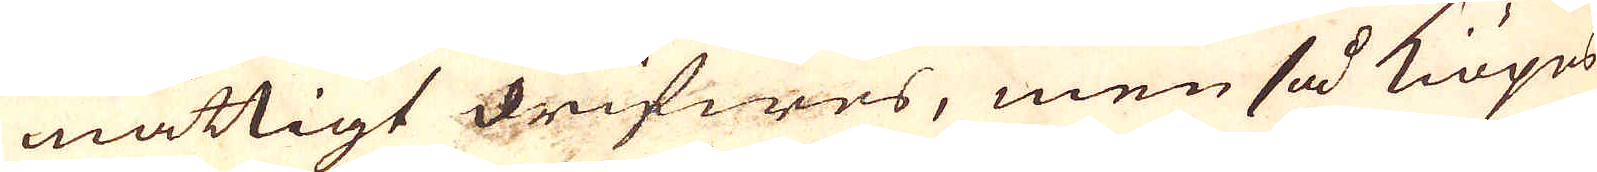måttigt drifwes, men så kiöpes
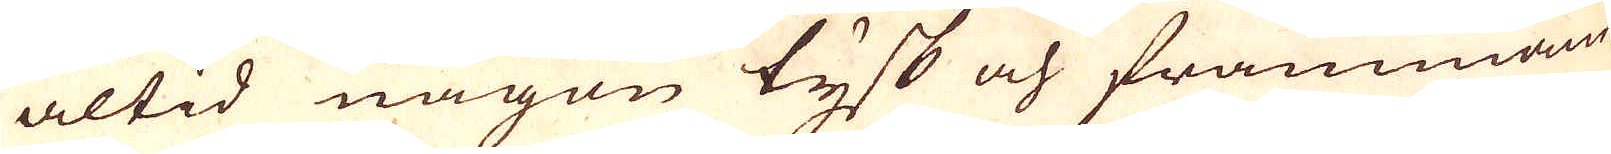altid någon tysk och främmande
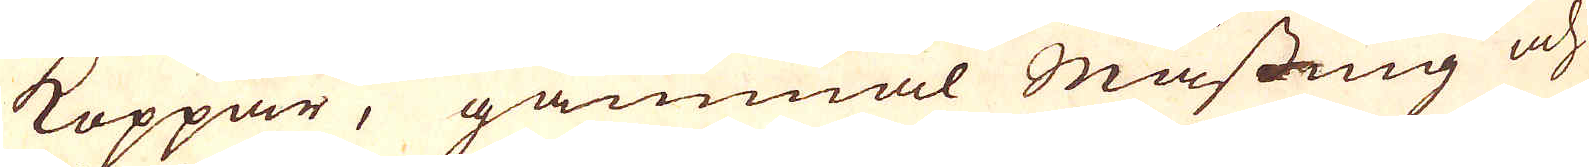Koppar, gammal Mässing och
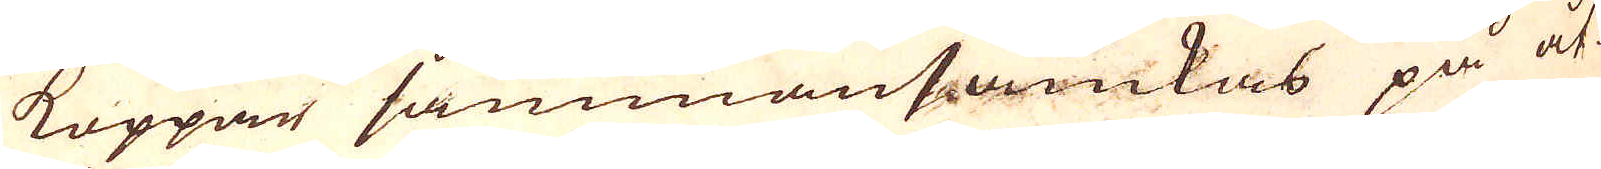Koppar sammansämkas på åt-
